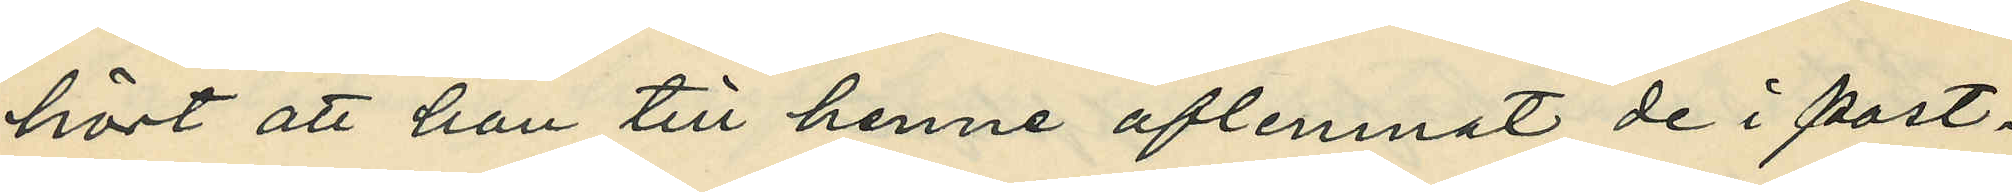hört att han till henne aflemnat de i post¬
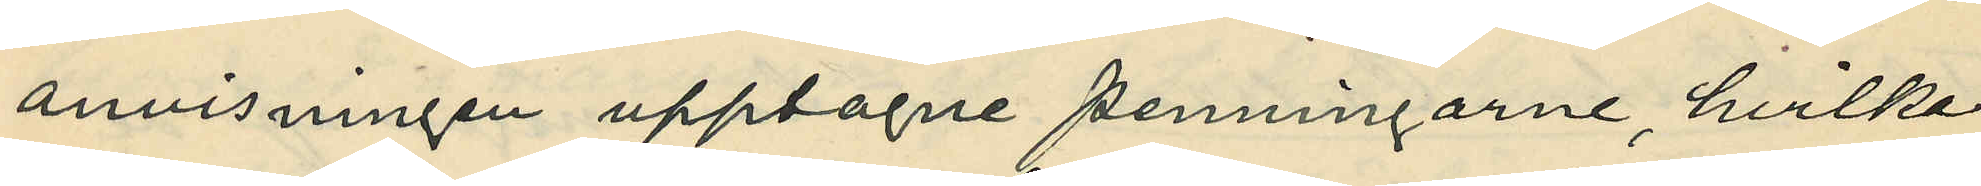anvisningen upptagne penningarne, hvilka
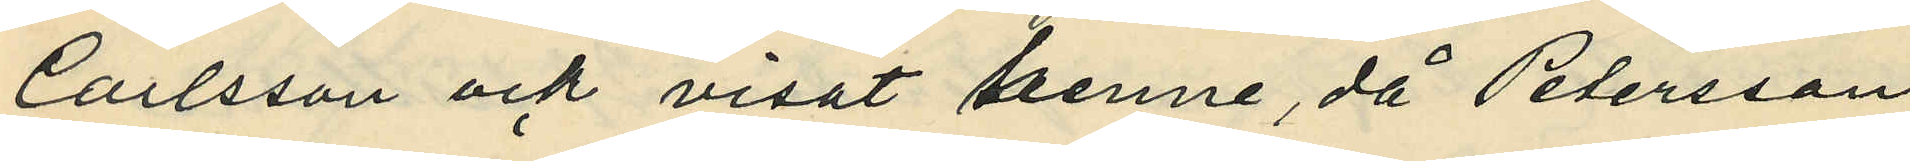Carlsson ock visat henne då Petersson
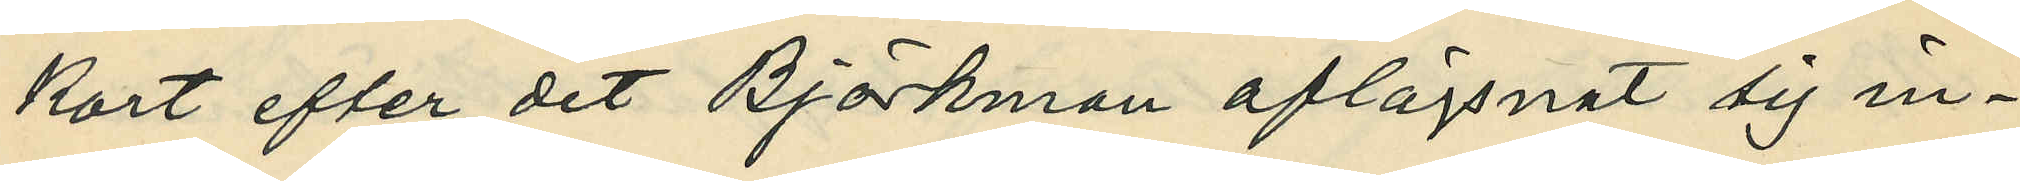kort efter det Björkman aflägsnat sig in¬
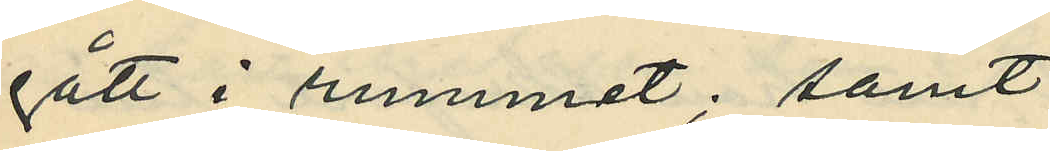gått i rummet; samt
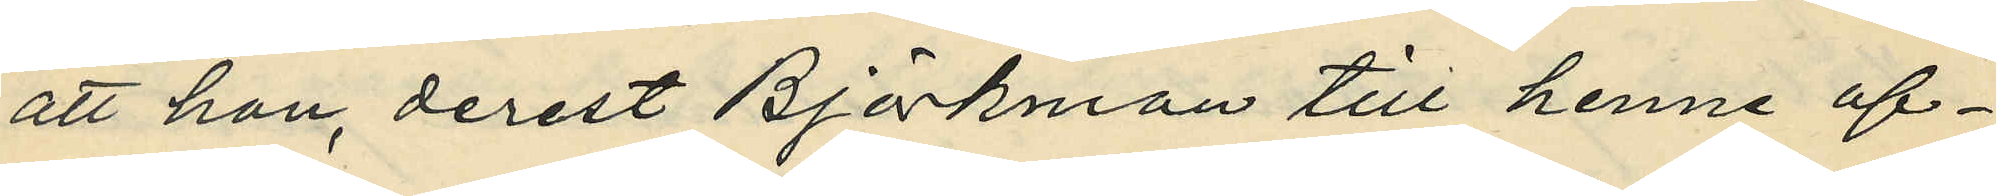att han, derest Björkman till henne af¬
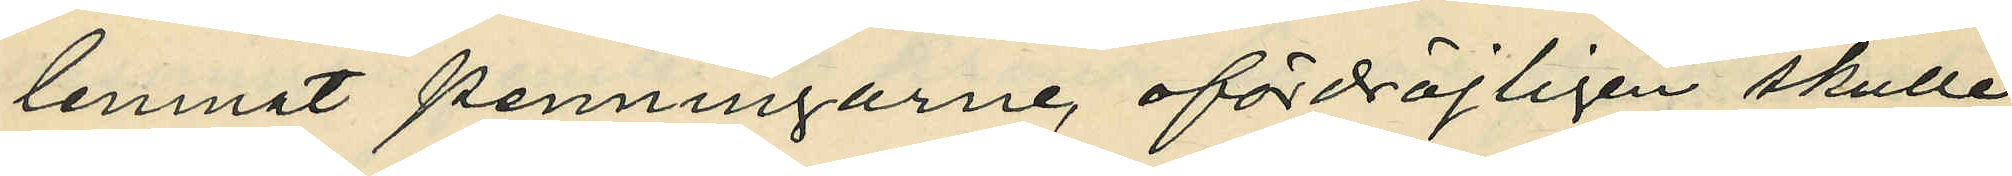lemnat penningarne, ofördröjligen skulle
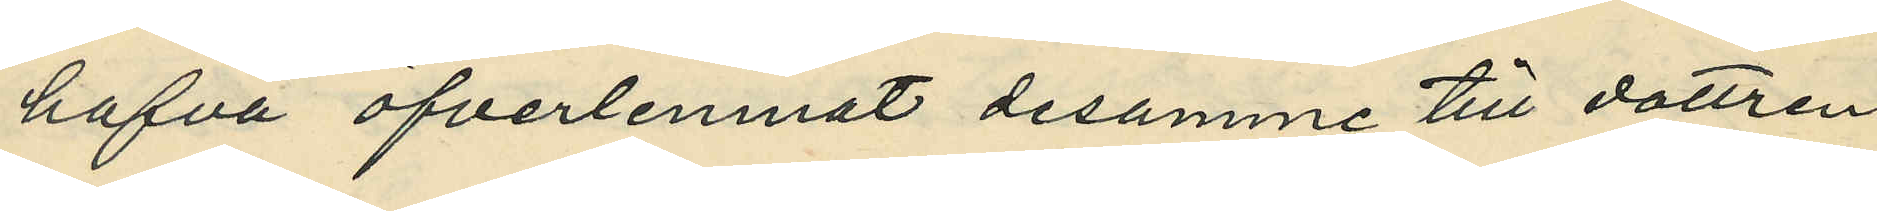hafva öfverlemnat desamma till dottren
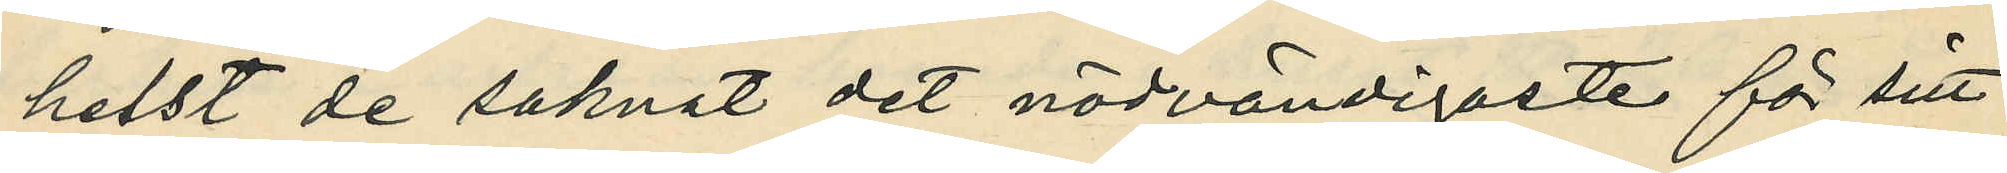helst de saknat det nödvändigaste för sitt
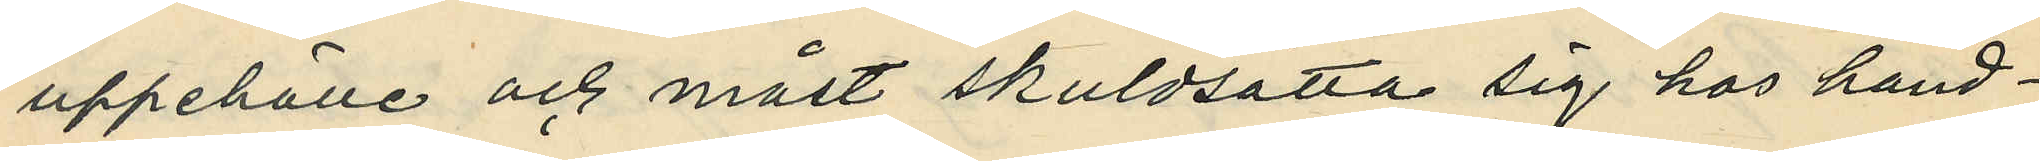uppehälle och måst skuldsätta sig hos handl¬
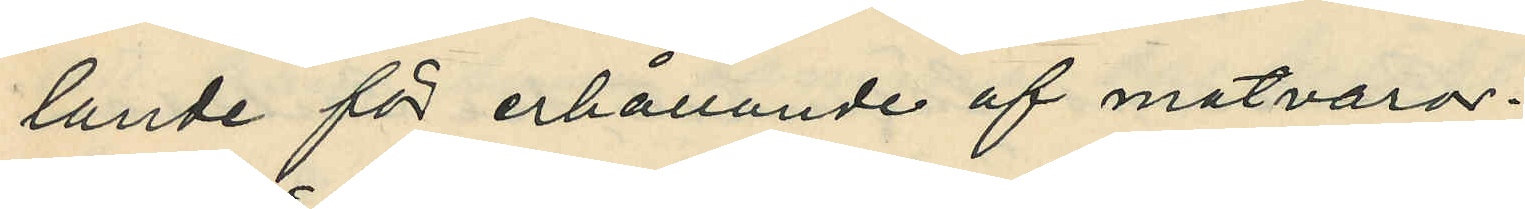lande för erhållande af matvaror.
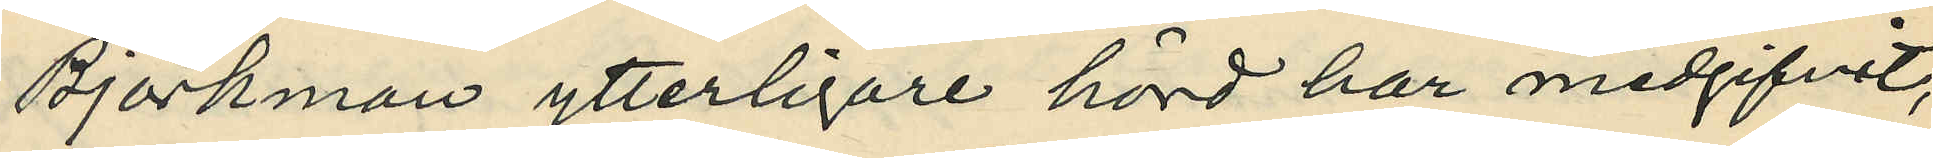Björkman ytterligare hörd har medgifvit,
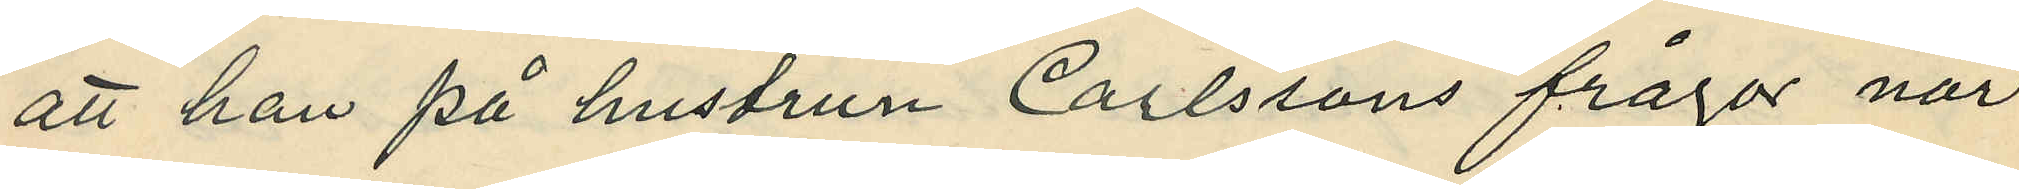att han på hustrun Carlssons fråga när
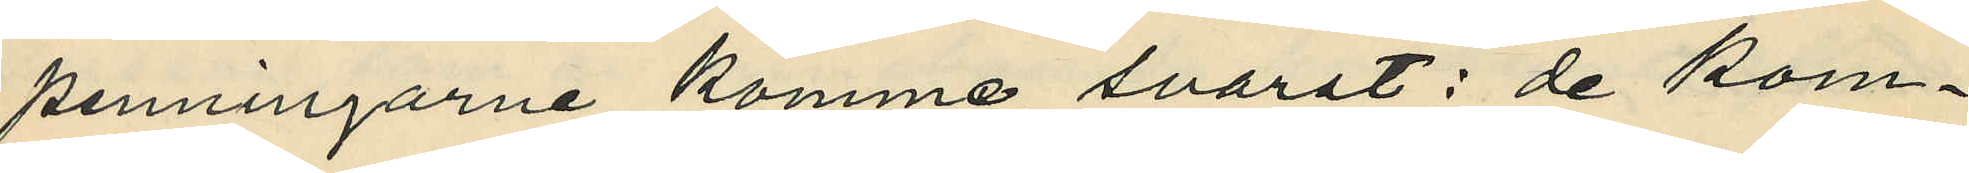penningarne kommo, svarat: de kom¬
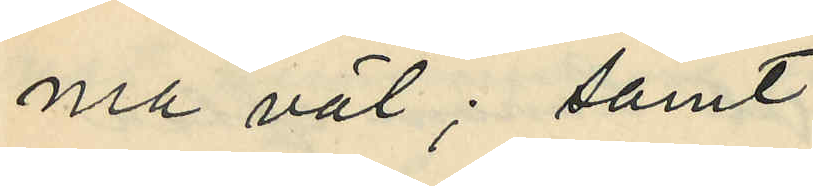ma väl; samt
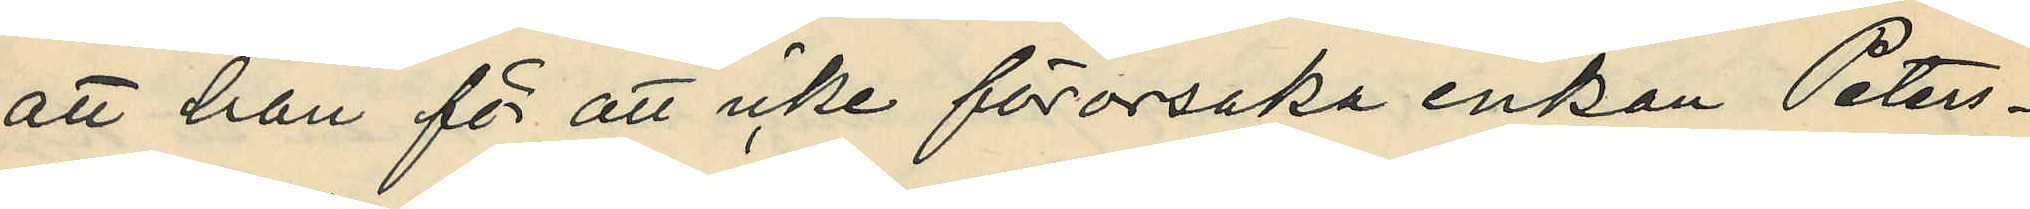att han för att icke förorsaka enkan Peters¬
